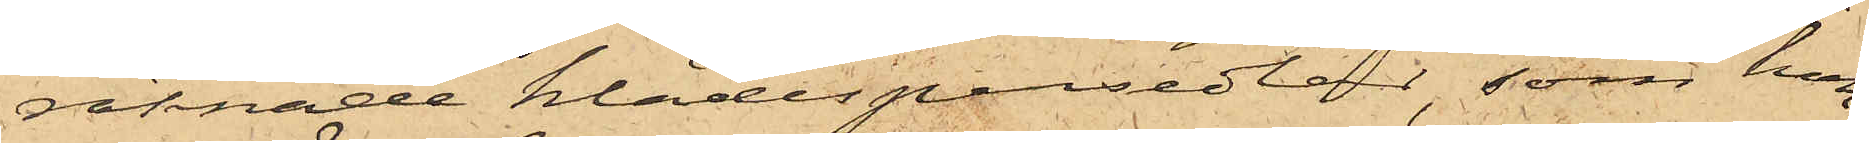räknade klädespersedlar, som hon,
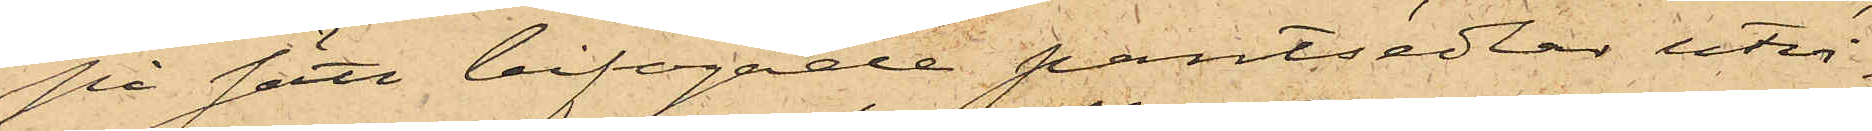på sätt bifogade pantsedlar utvi¬
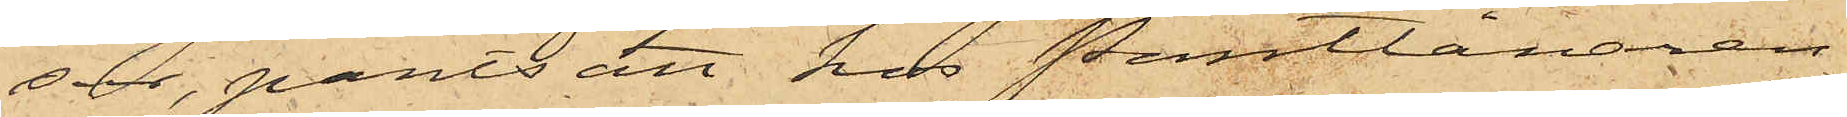sar, pantsatt hos Pantlånaren
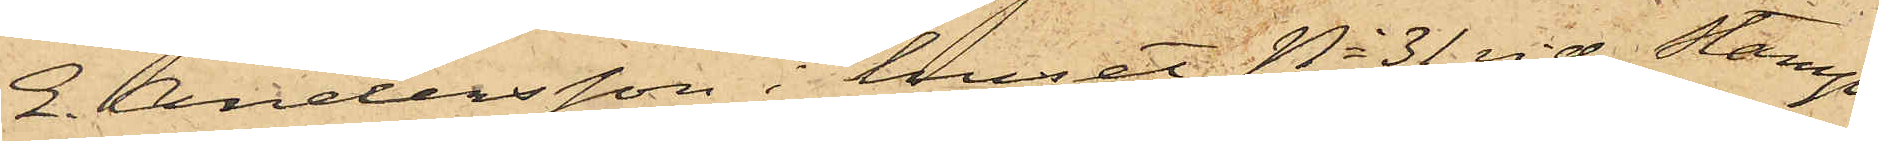E. Andersson i huset No 31 vid Stamp¬
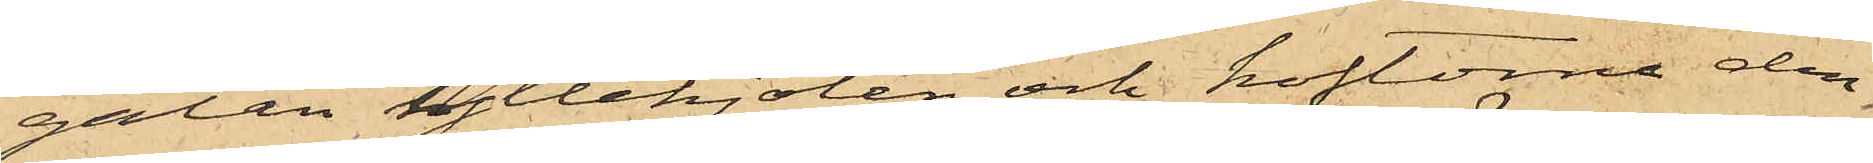gatan yllekjolen och koftorna den
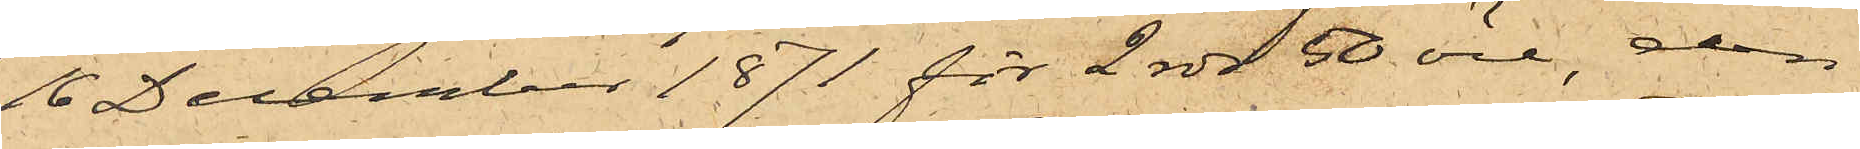16 December 1871 för 2 rdr 50 öre, den
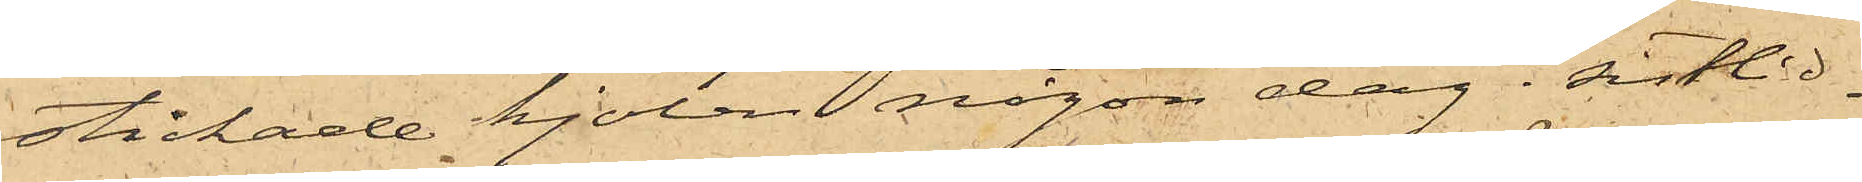stickade kjolen någon dag sistlid¬
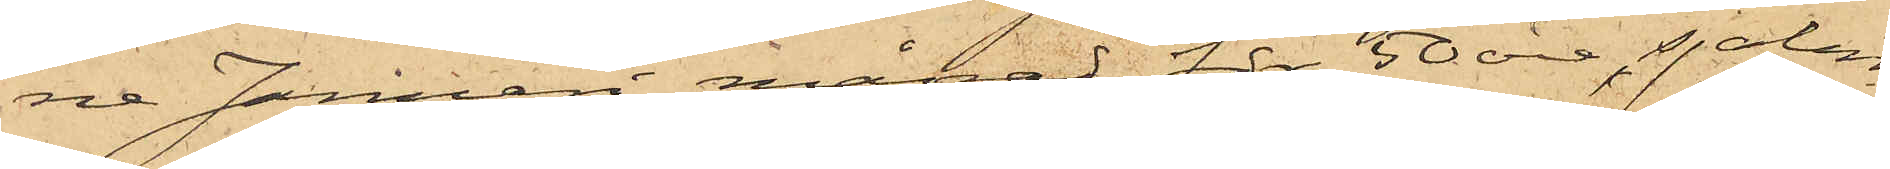ne Januari månad för 50 öre, sjalen
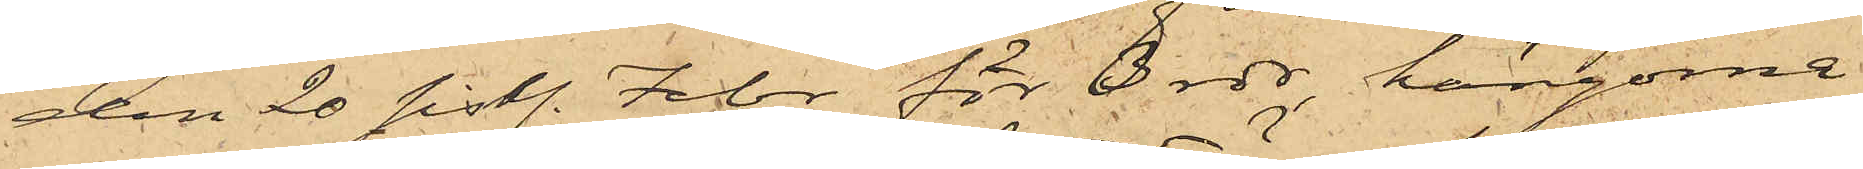den 20 sistl. Febr. för 3 rdr, kängorna
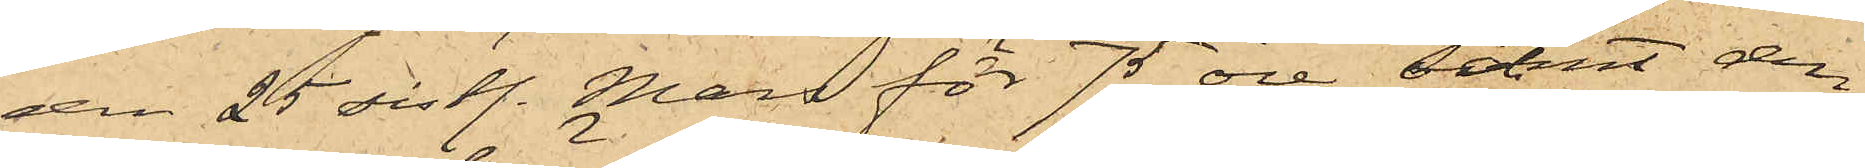den 25 sistl. Mars för 75 öre samt den
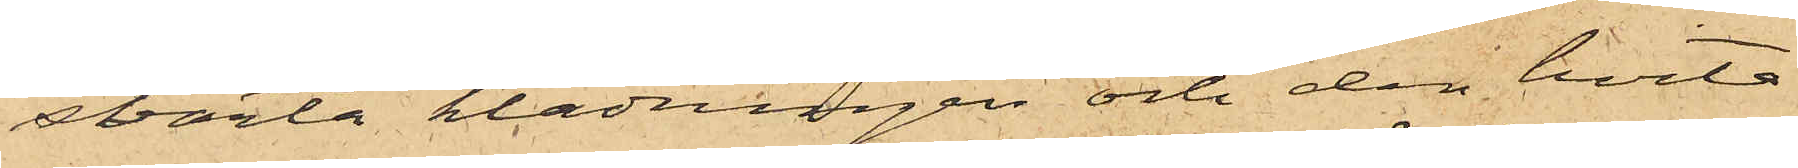svarta klädningen och den hvita
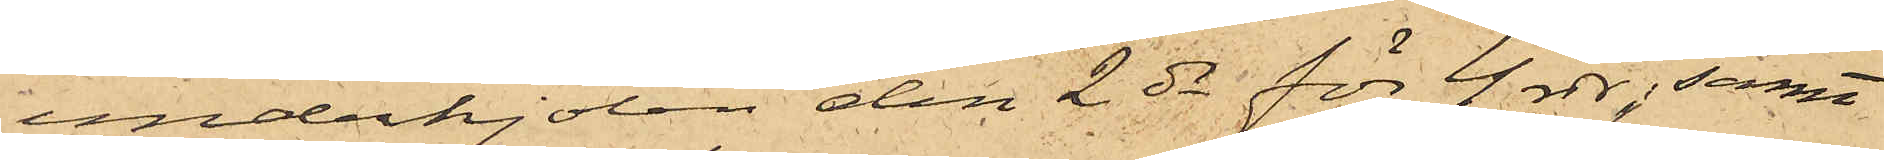underkjolen den 2 ds för 4 rdr; samt
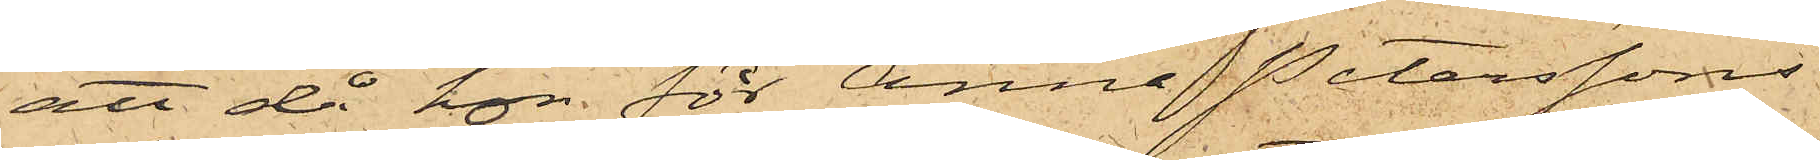att då hon för Anna Peterssons
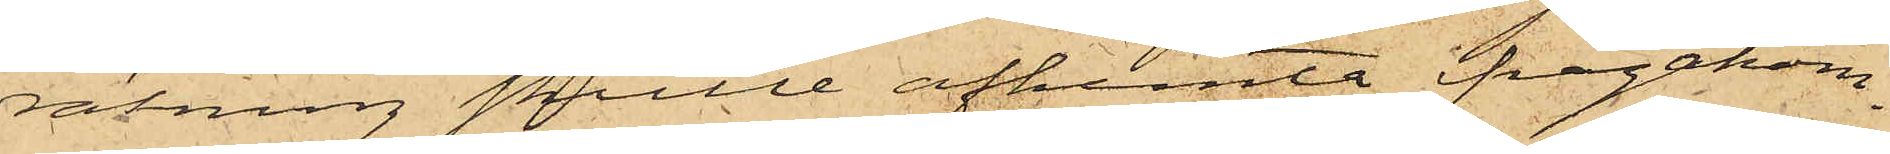räkning skulle afhemta frågakom¬
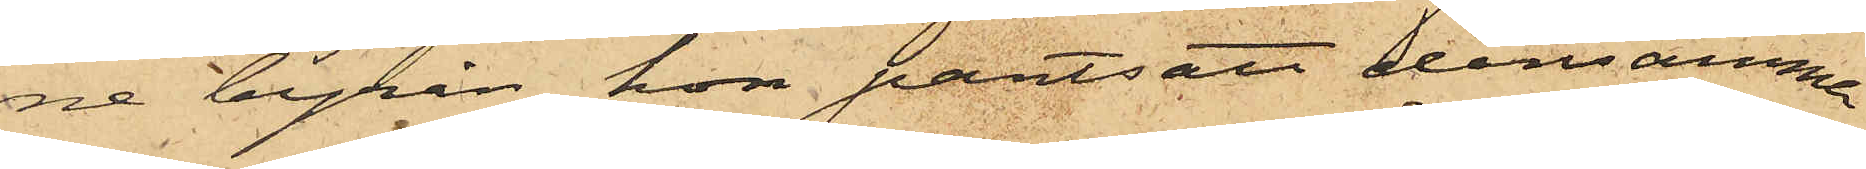ne byrån hon pantsatt densamma
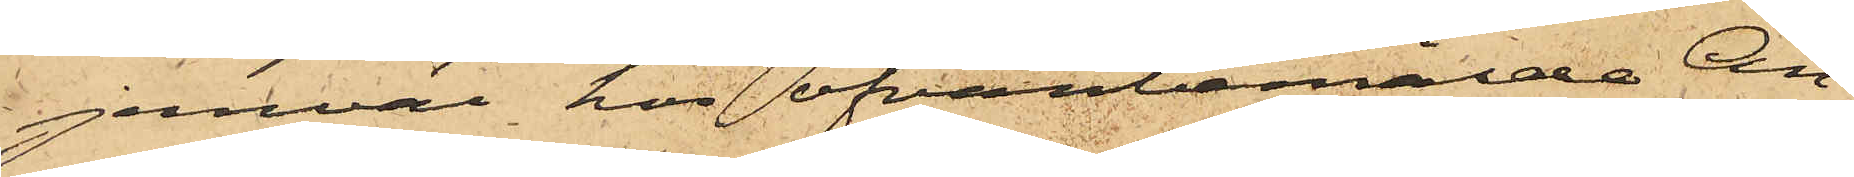jemväl hos ofvanbemälde An¬
